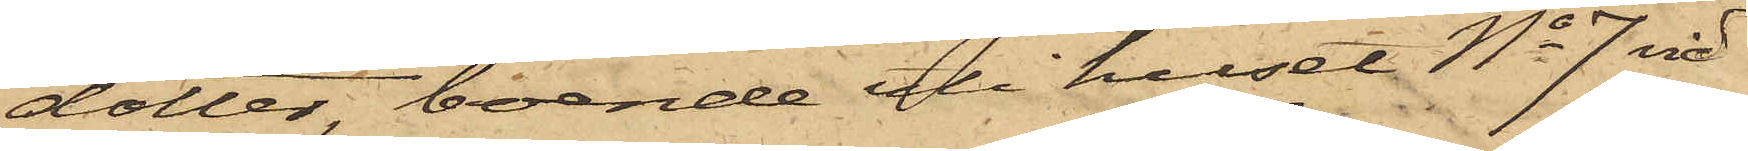dotter, boende uti huset No 7 vid
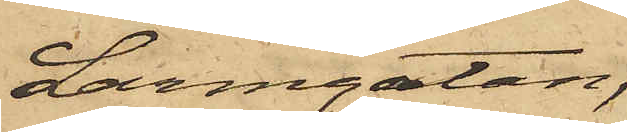Larmgatan,
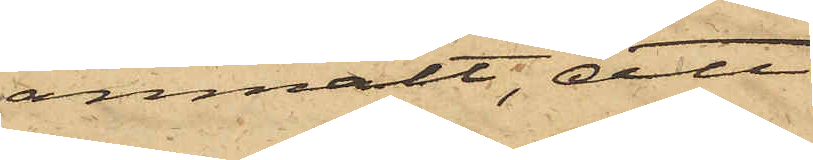anmält, att
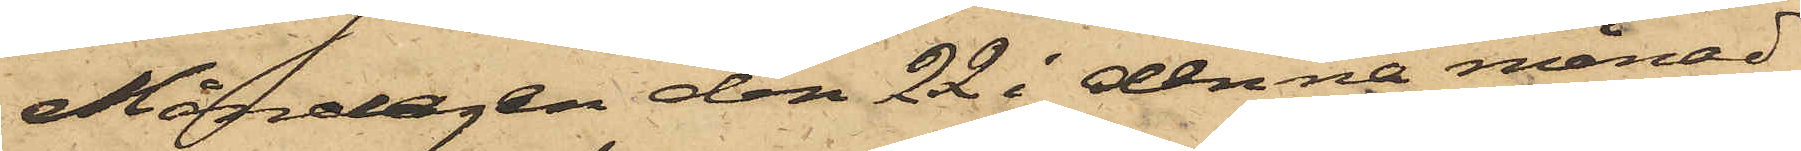Måndagen den 22 i denna månad
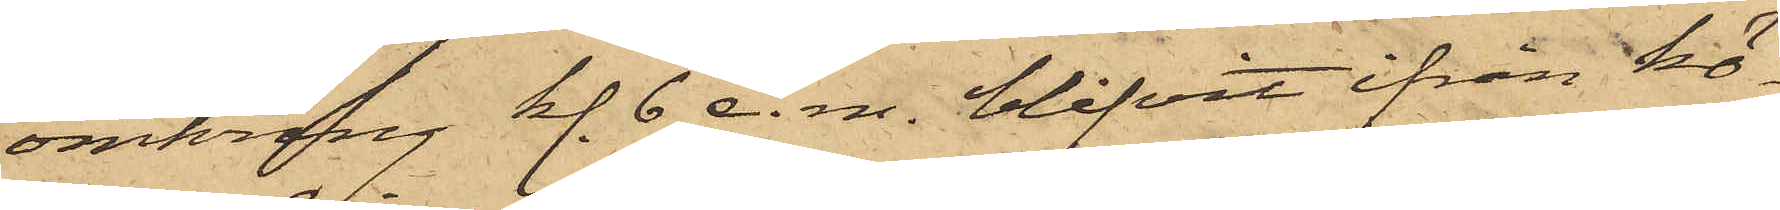omkring kl. 6 e. m. blifvit ifrån kö¬
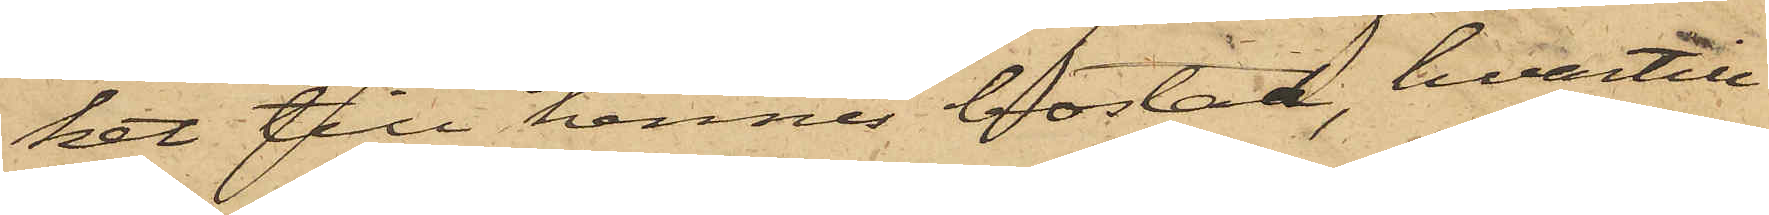ket till hennes bostad, hvartill
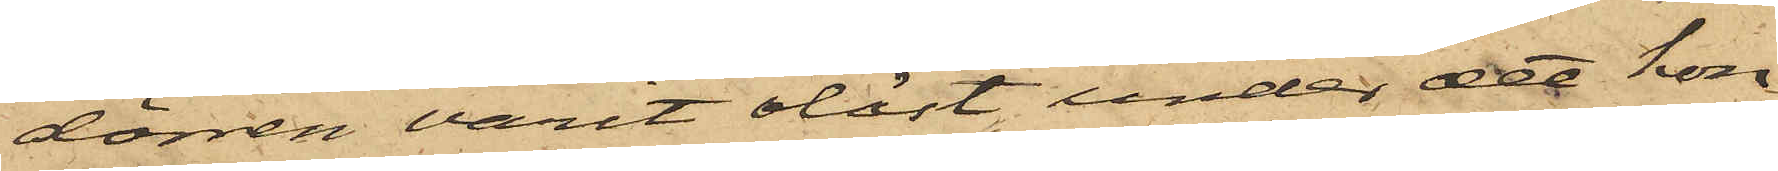dörren varit olåst, under det hon
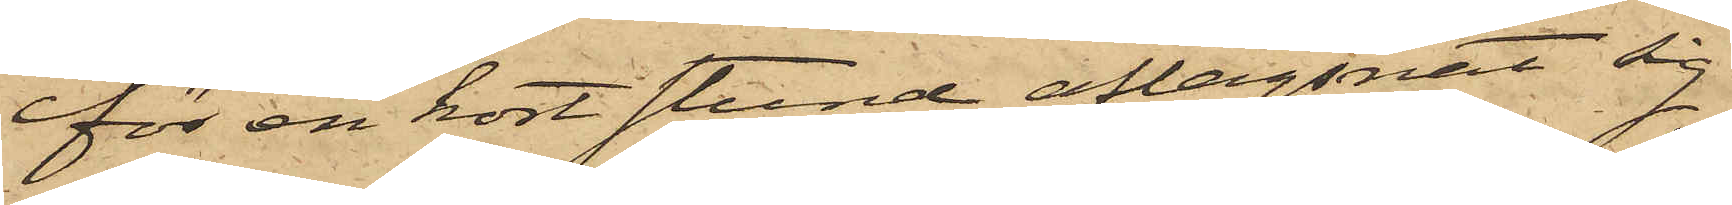för en kort stund aflägsnat sig
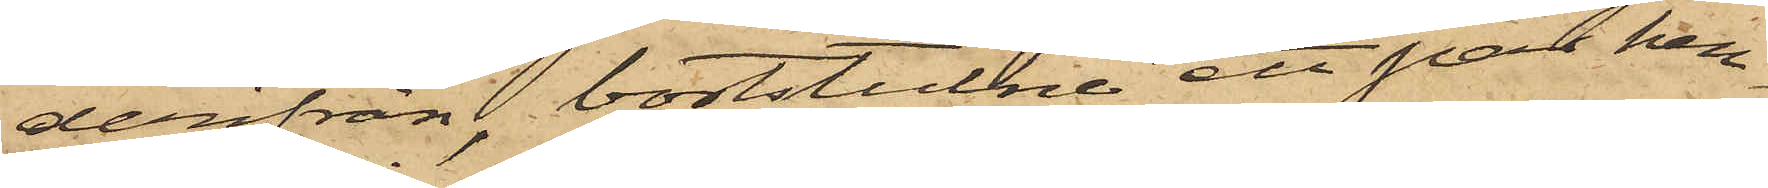derifrån, bortstulne ett par hen¬
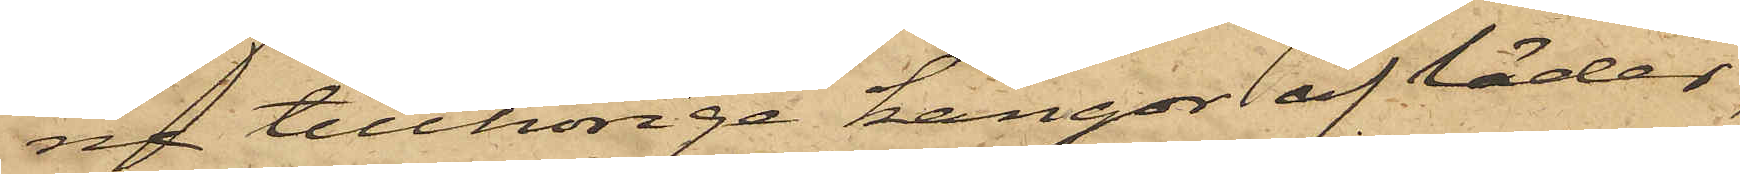ne tillhörige kängor af läder,
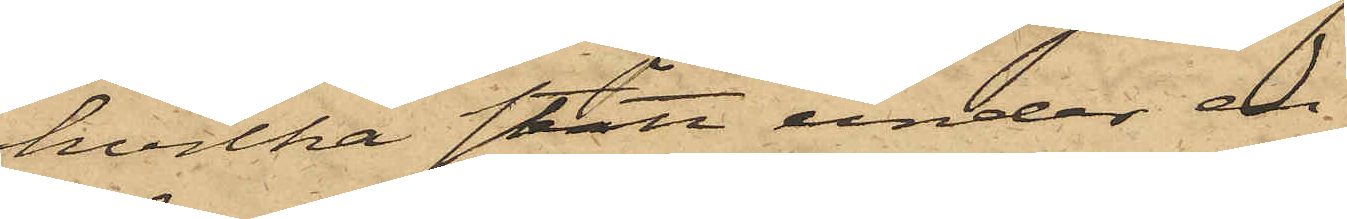hvilka stått under en
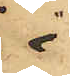i
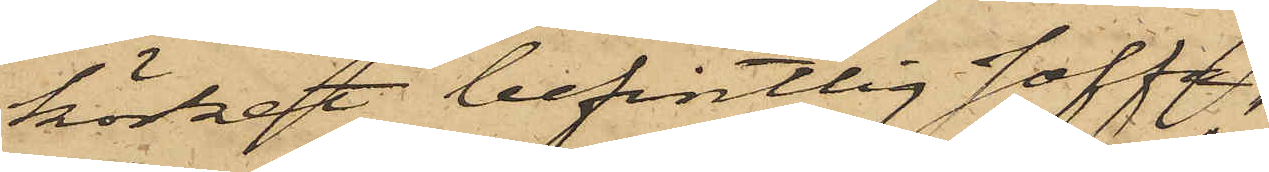köket befintlig soffa
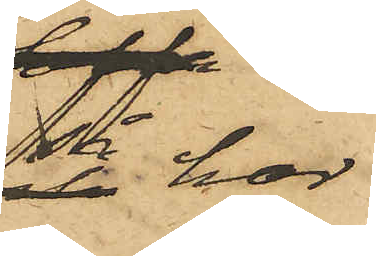så har
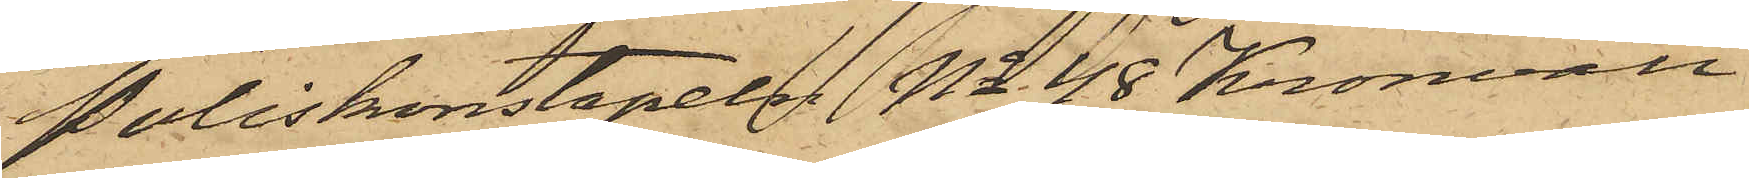Poliskonstapeln No 48 Kronvall
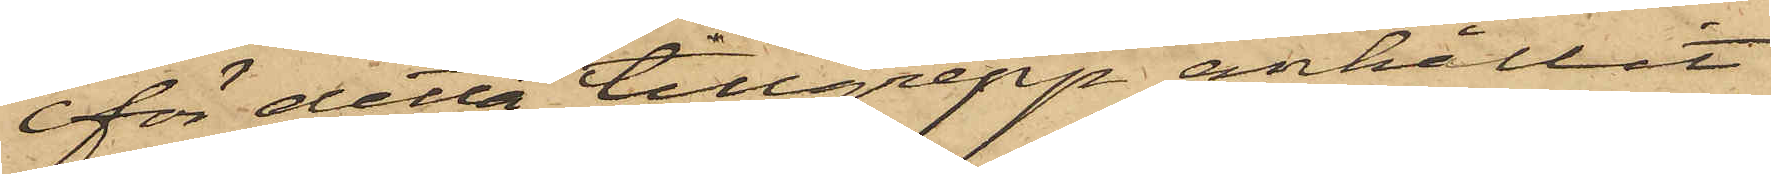för detta tillgrepp anhållit
